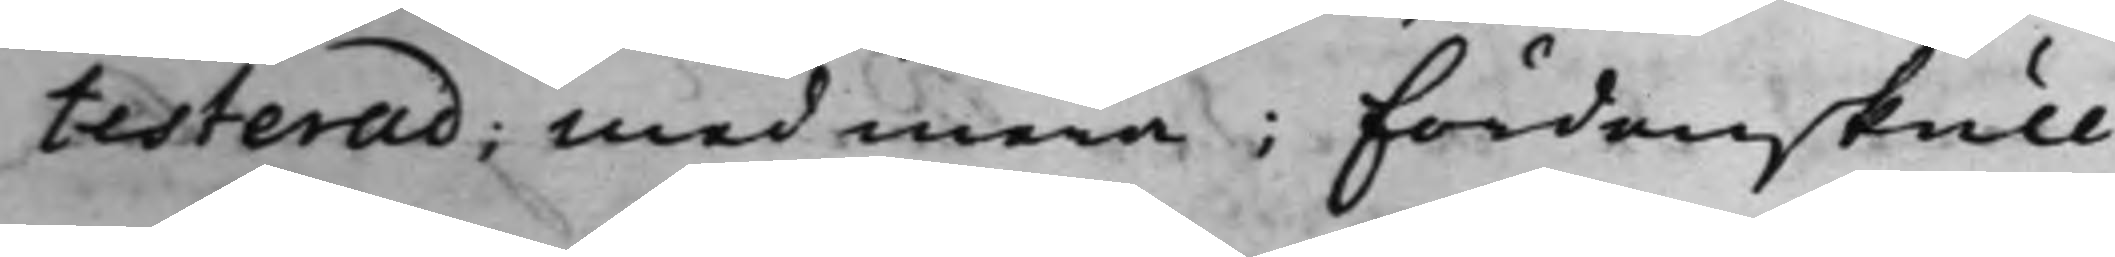testerad; Med mera; Fördenskull
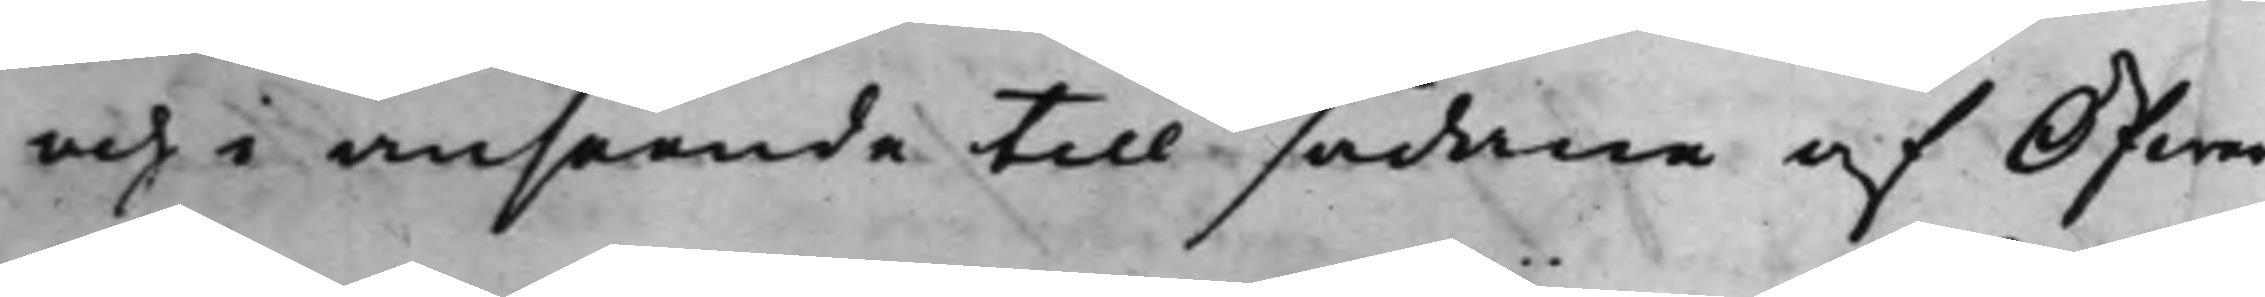och i anseende till sådane af Öfwer¬
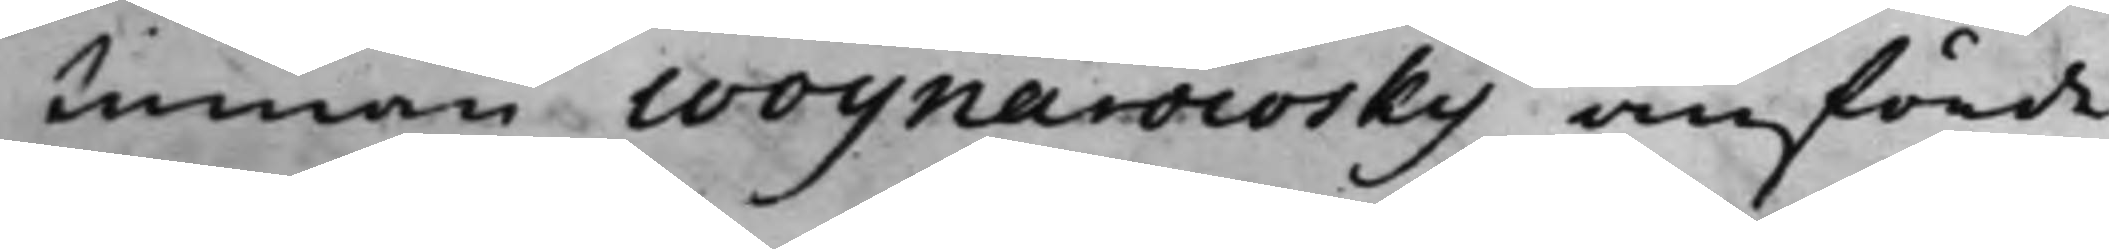stinnan Woynarowsky anförde
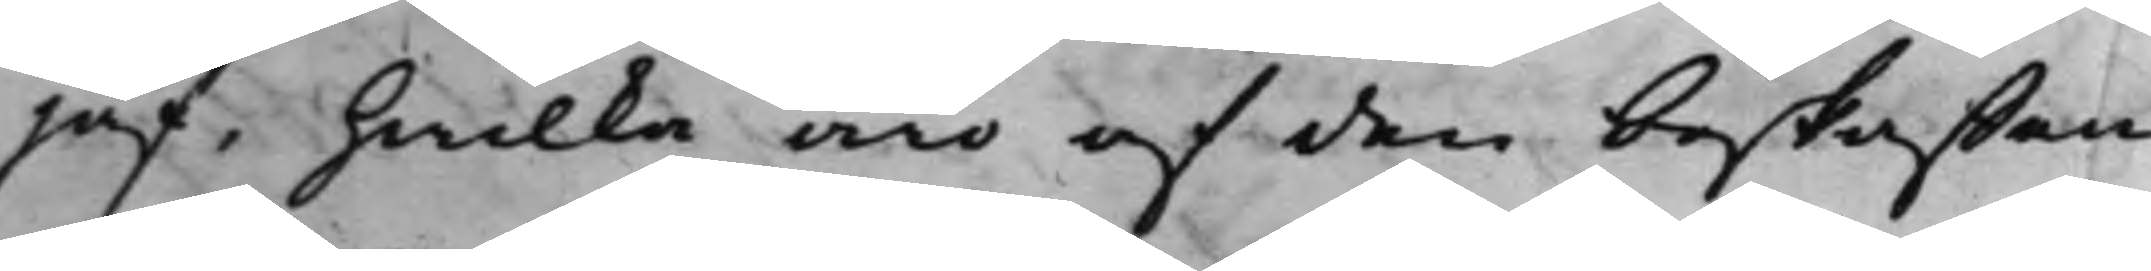jäf, hwilka äro af den beskaffen¬
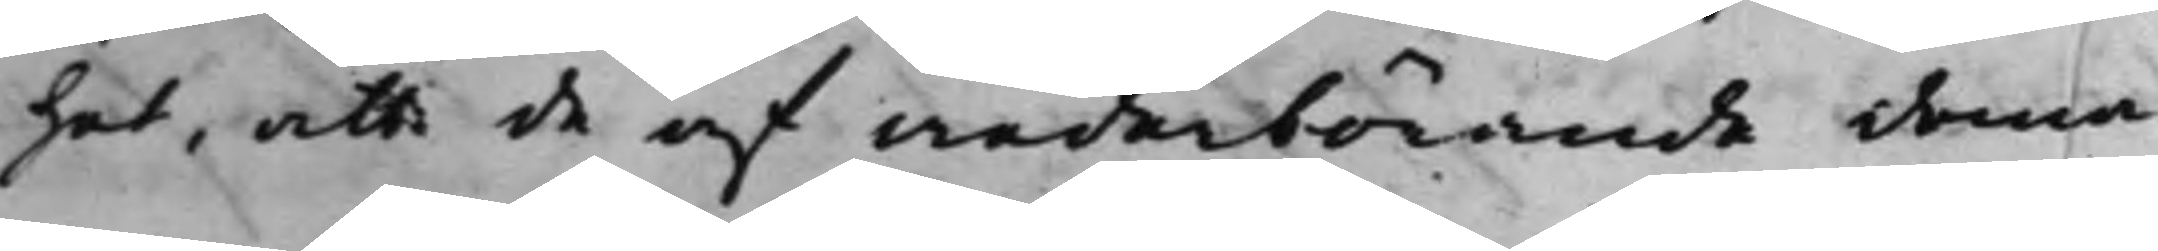het, att de af wederbörande doma¬
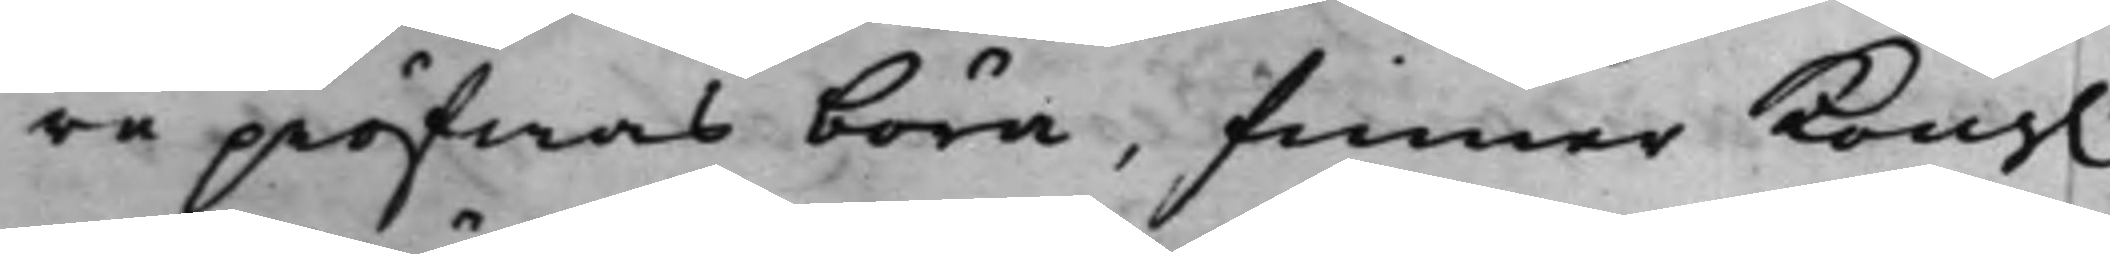re pröfwas böra, finner Kong.
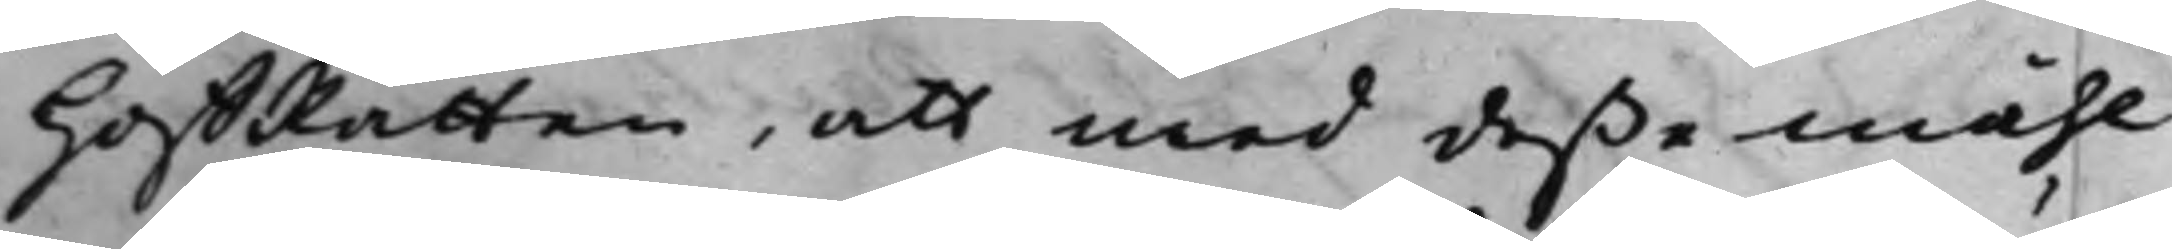HoffRätten, att med deße måhl
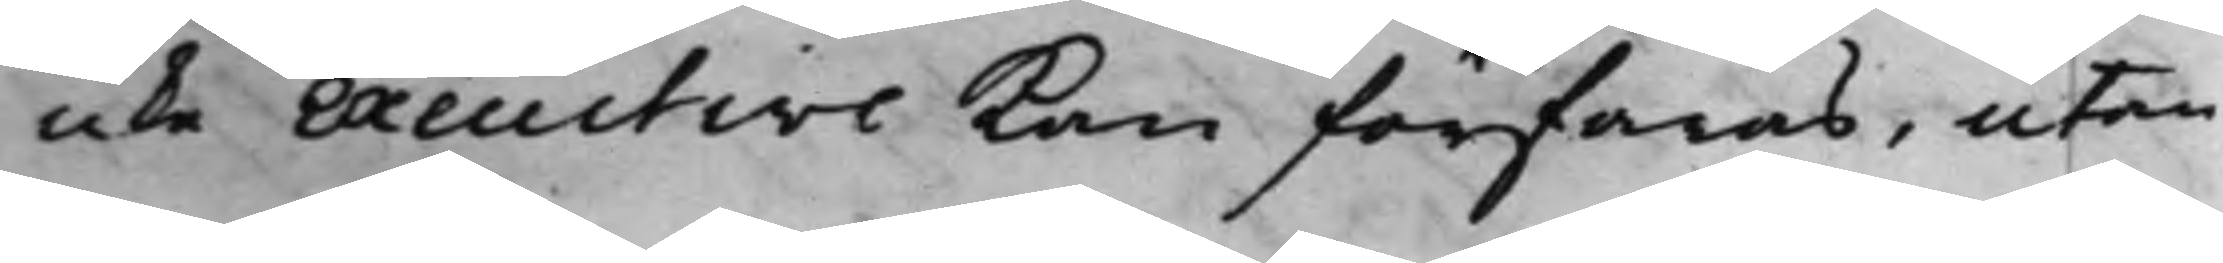icke Execution Kan förfaras, utan
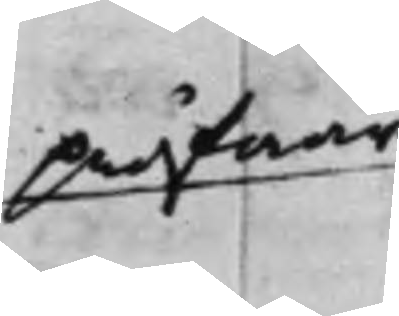pröfwar
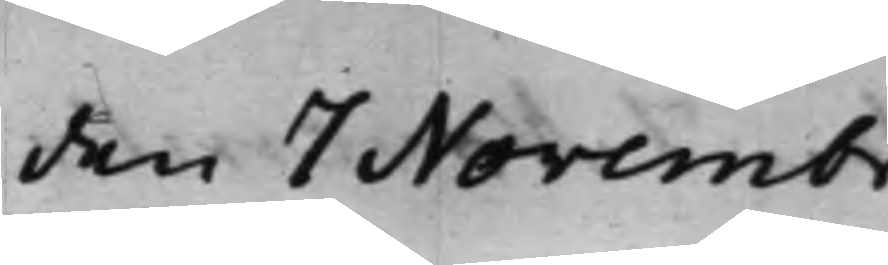den 7 Novembr.
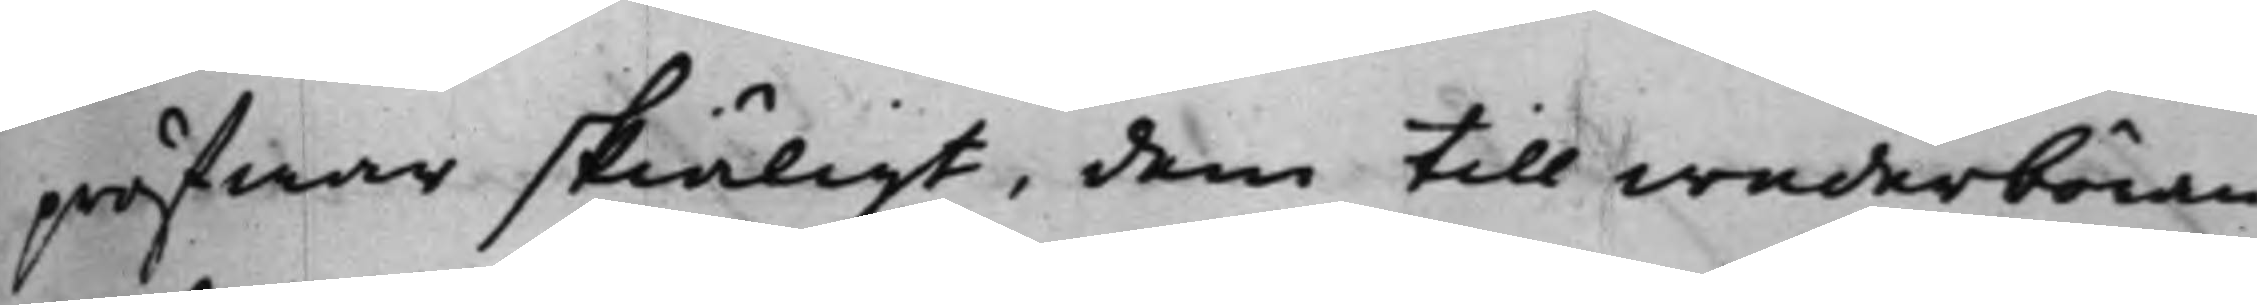pröfwar skiäligt, dem till wederböran¬
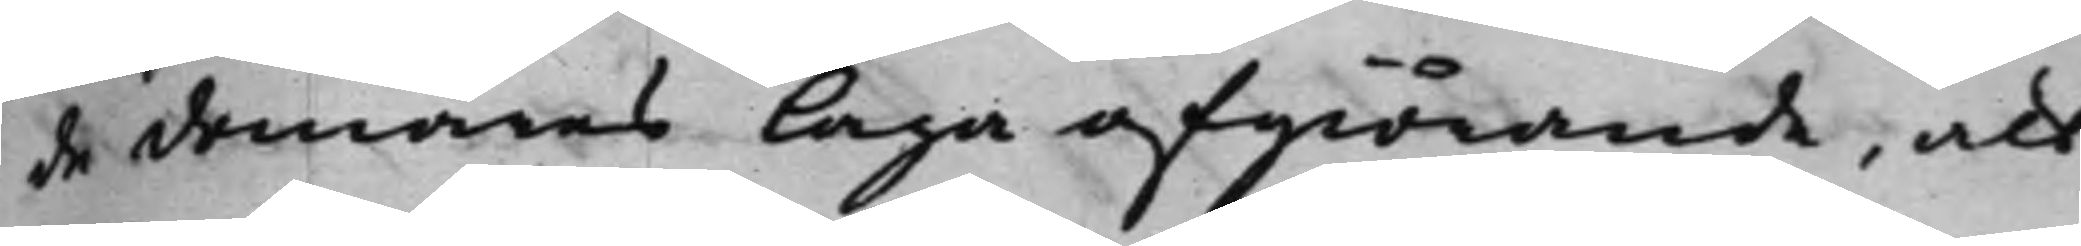de domares Laga afgiörande, att
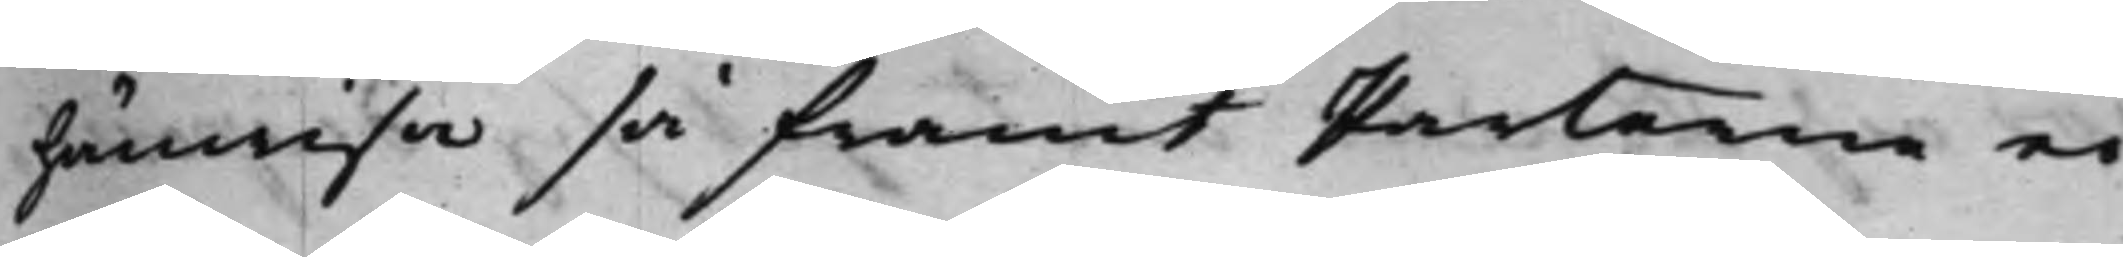hänwisa så framt Parterne ei
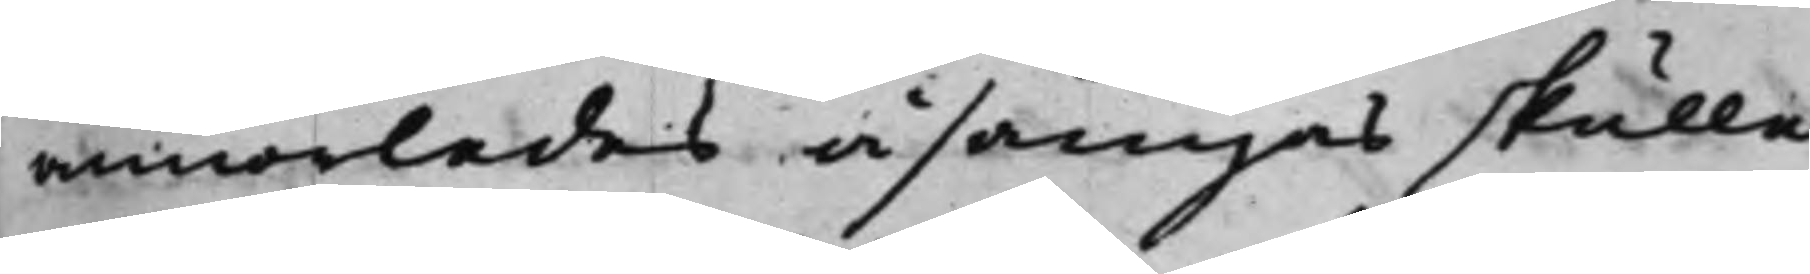annorledes åsämjas skulle.
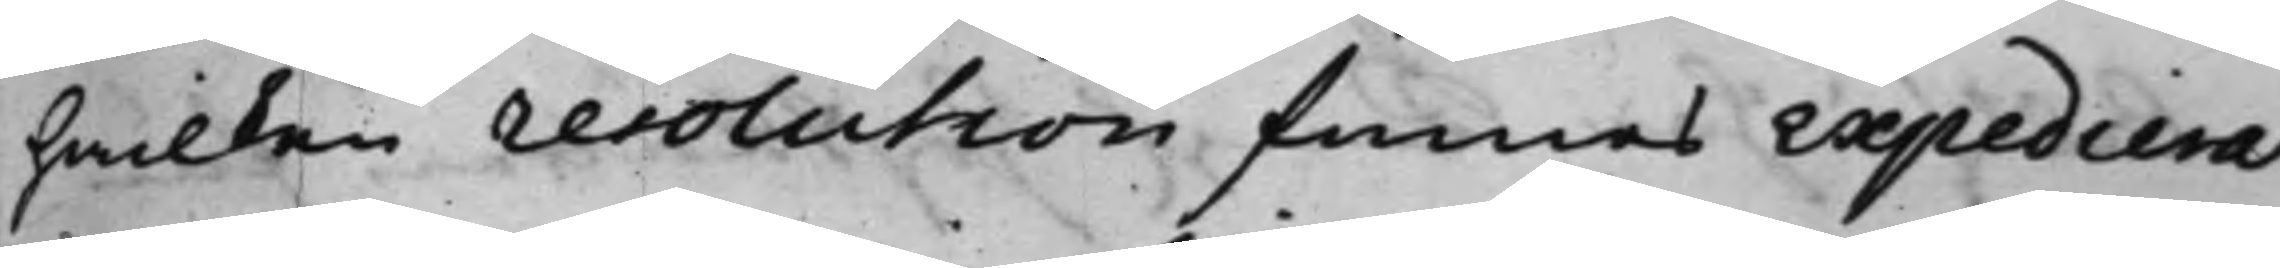hwilken resolution finnes expedierat
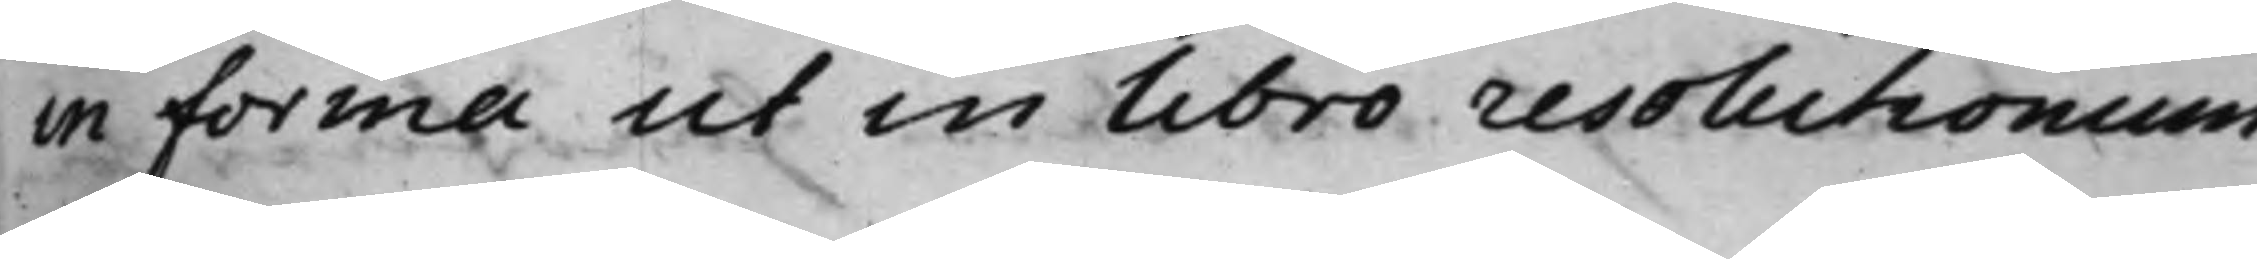in forma ut in libro resolutionum.
